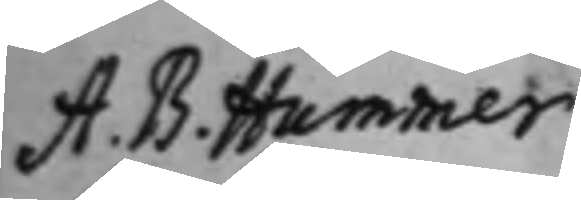A. B. Hummer¬
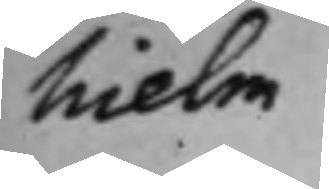hielm.
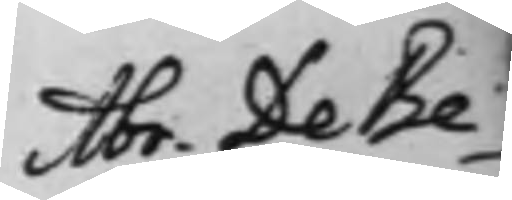Abr. De Be¬
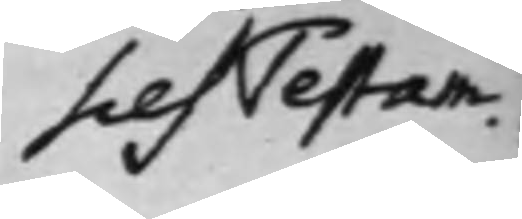sces Testam.
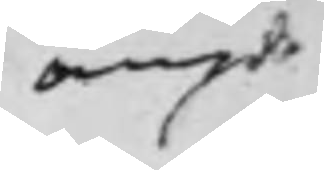angde 
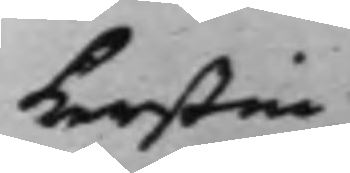Kerstin
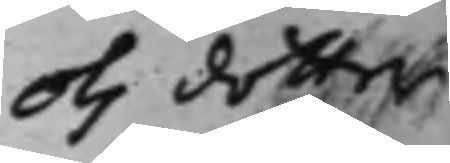Ols dotter
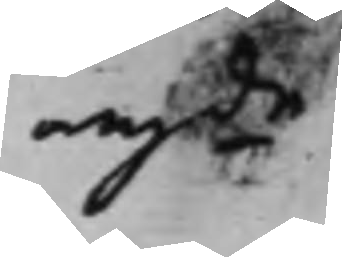angde
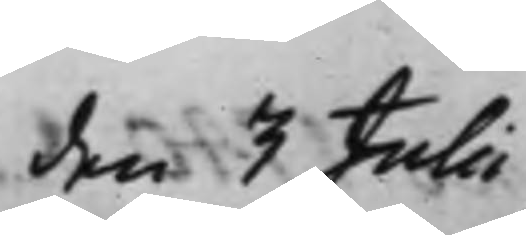den 3 Julii.
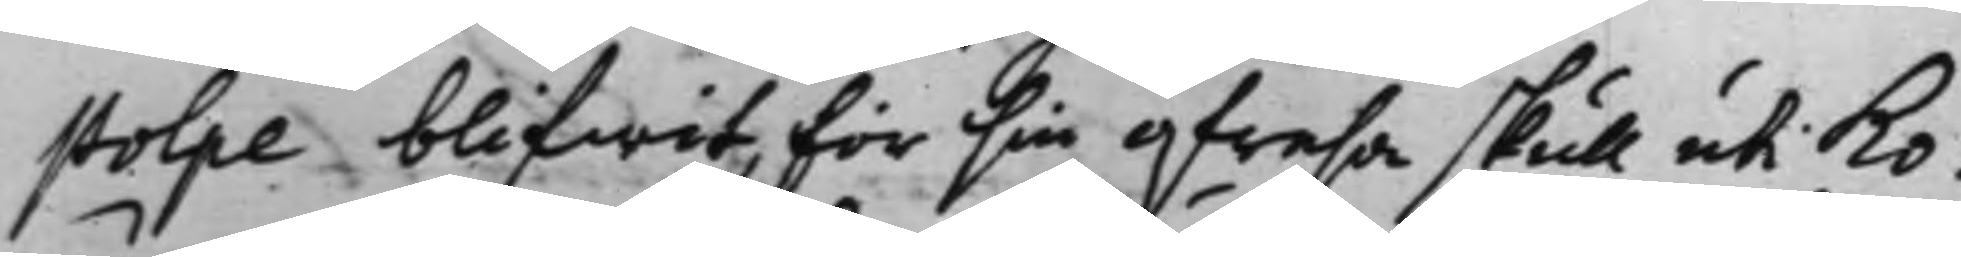stolpe blifwit, för sin afresa skull uti Ko¬
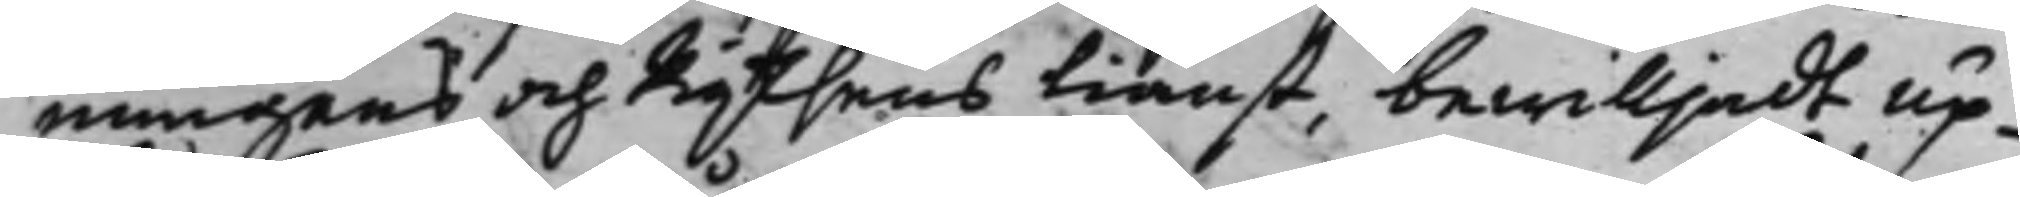nungens och Rijksens tiänst, bewilljadt up¬
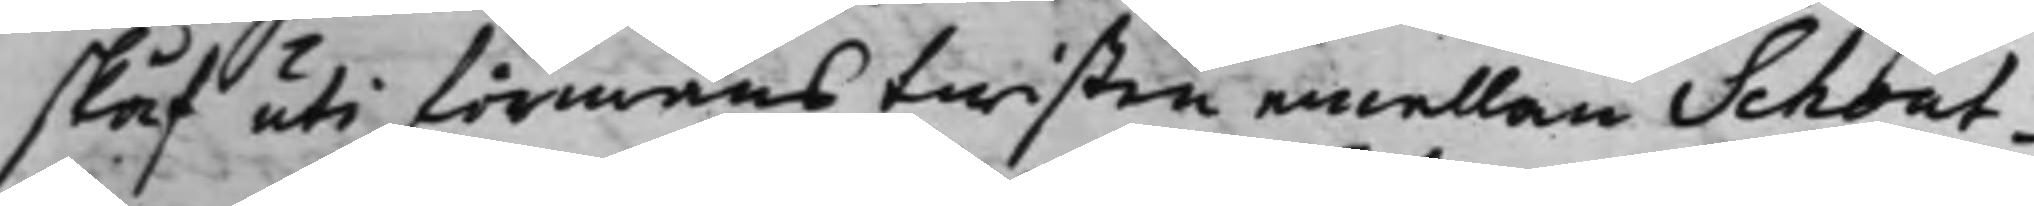skåf uti förmåns twisten emellan Schout¬
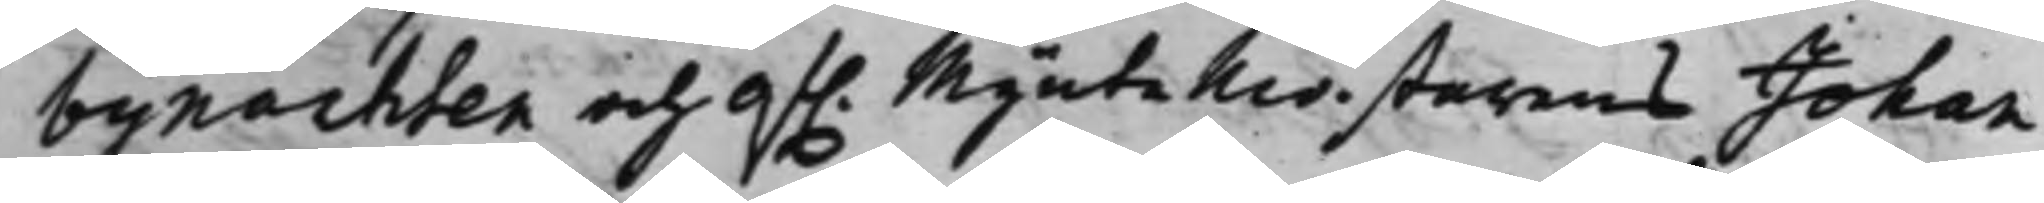bynachten och af. Myntemästarens Johan
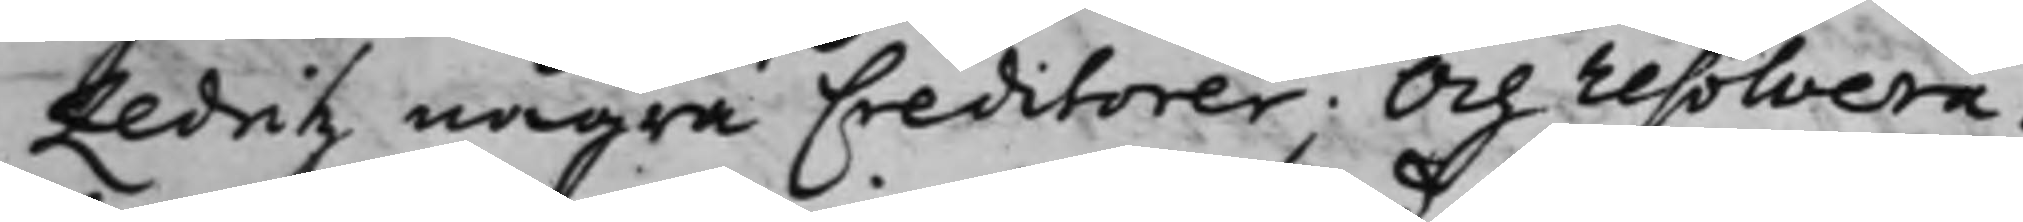Zedritz några Creditorer; Och resolvera¬
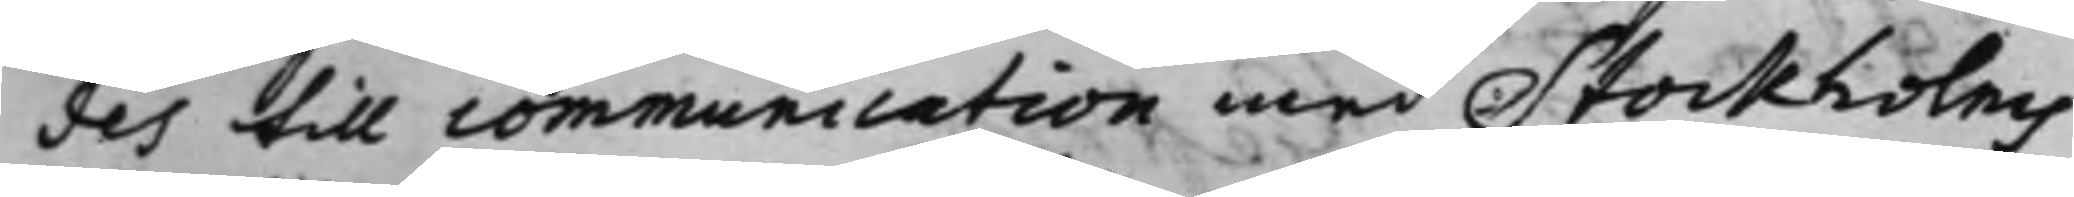des till communication med Stockholms
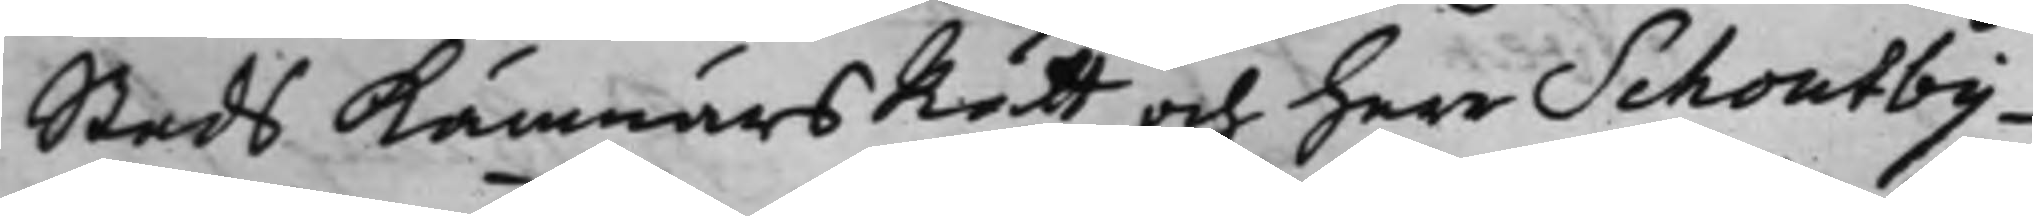Stads KämnärsRätt och Herr Schoutby¬
